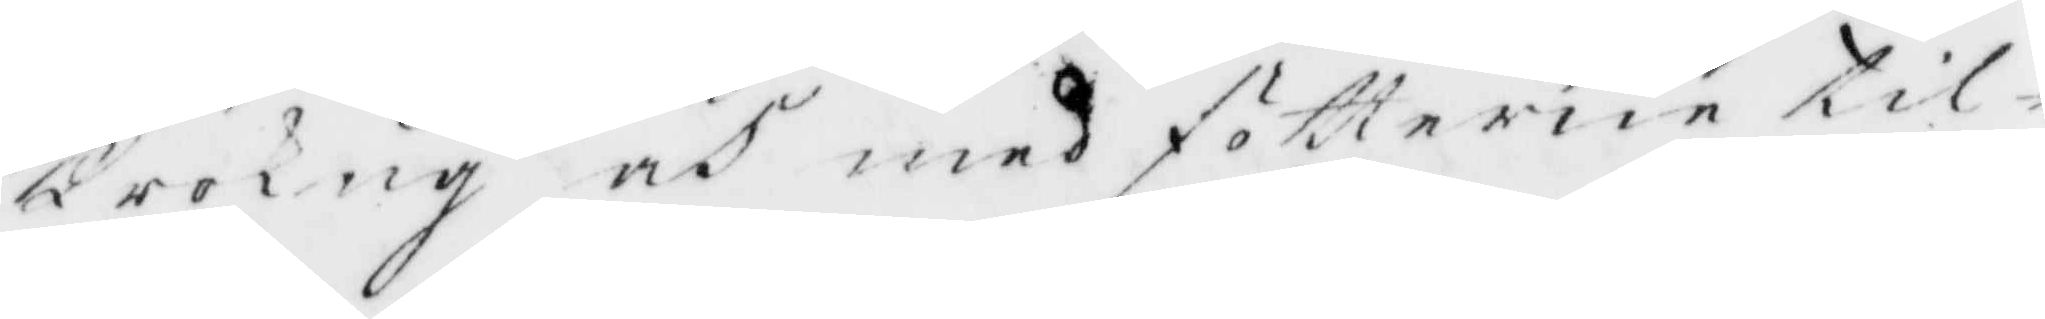krokug och med fötterne til¬
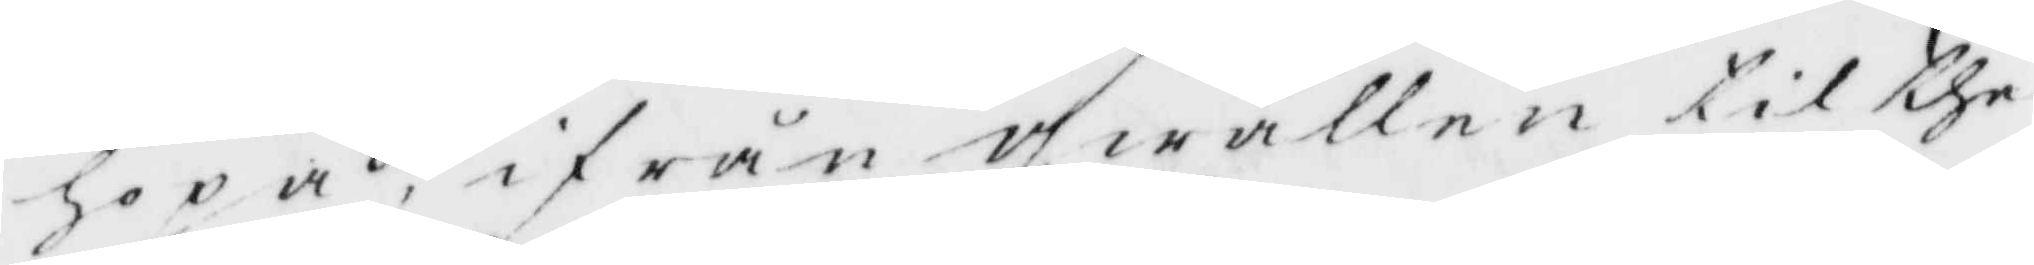hopa, ifrån qwällen til the
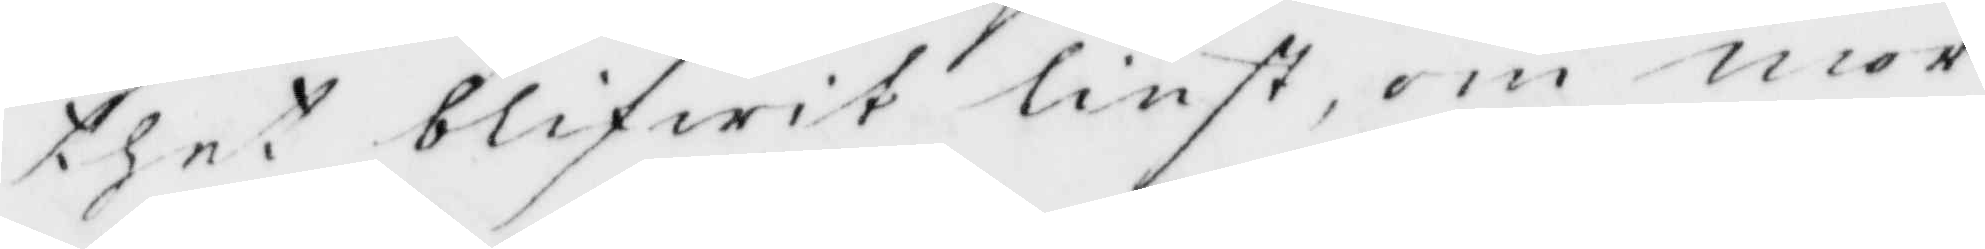thet blifwit liust, om mor¬
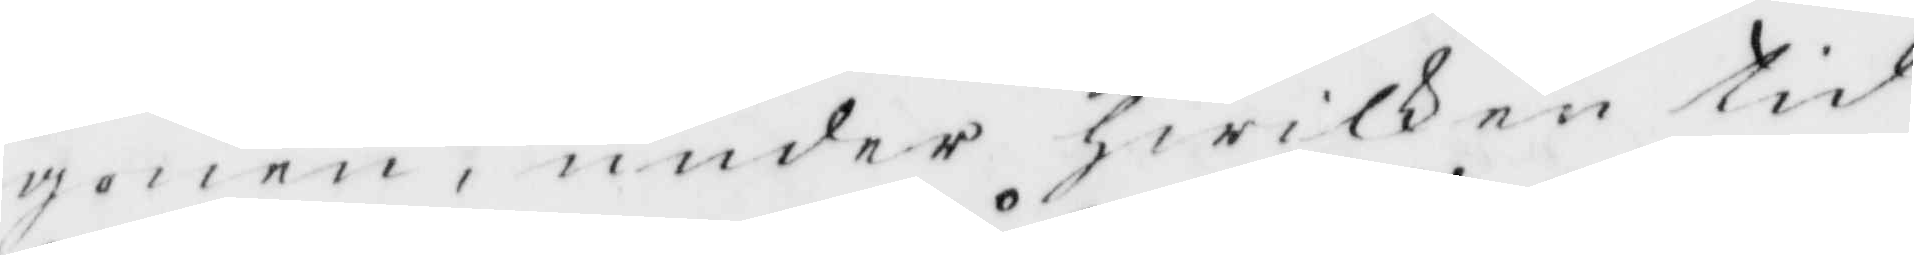gonen, under hwilken tid
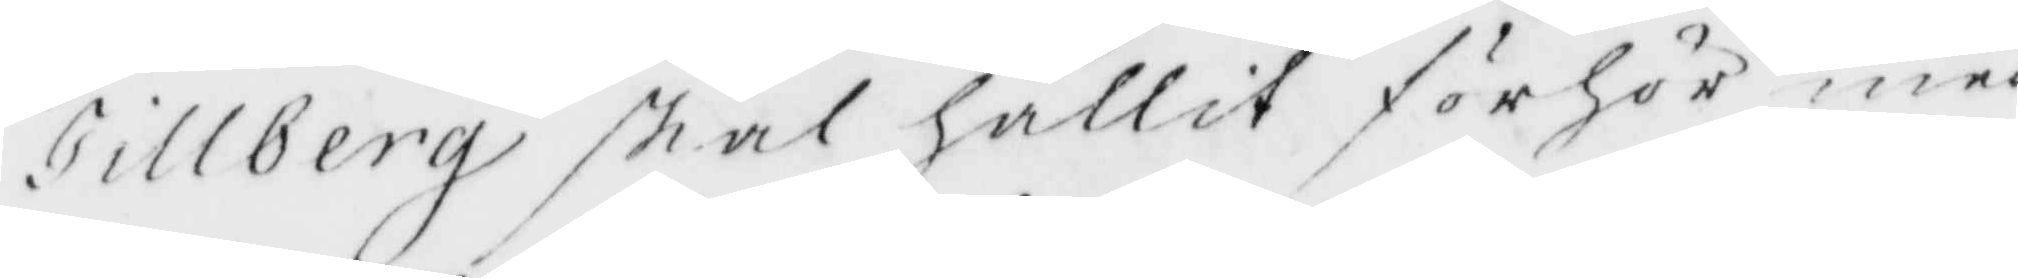Tillbergh skal hållit förhör med
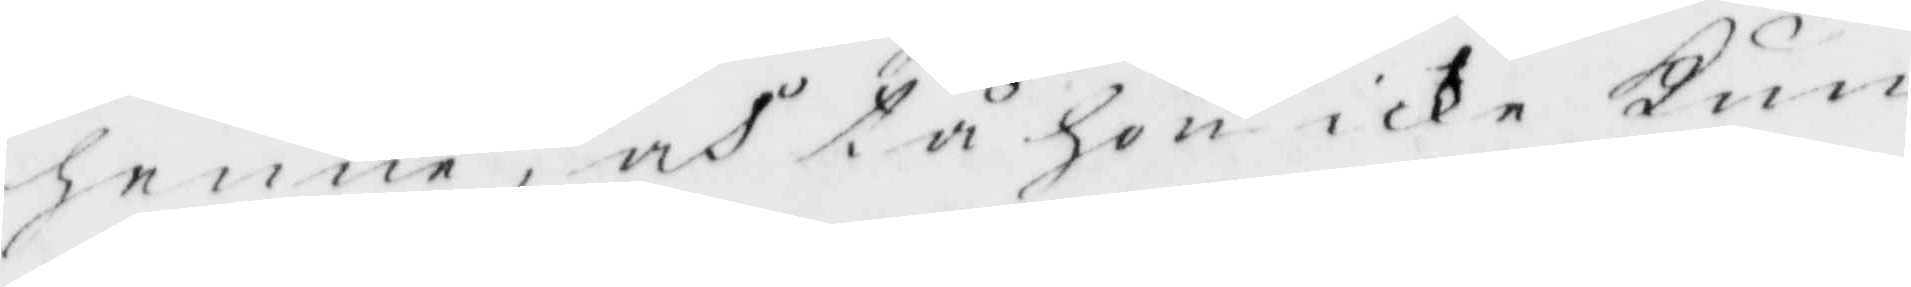henne, och tå hon icke Kun¬
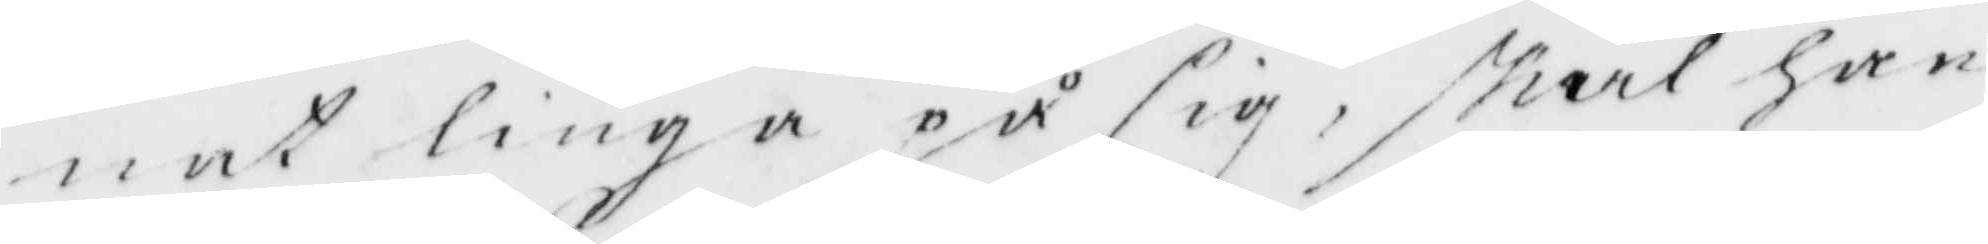nat liuga på sig, skal han
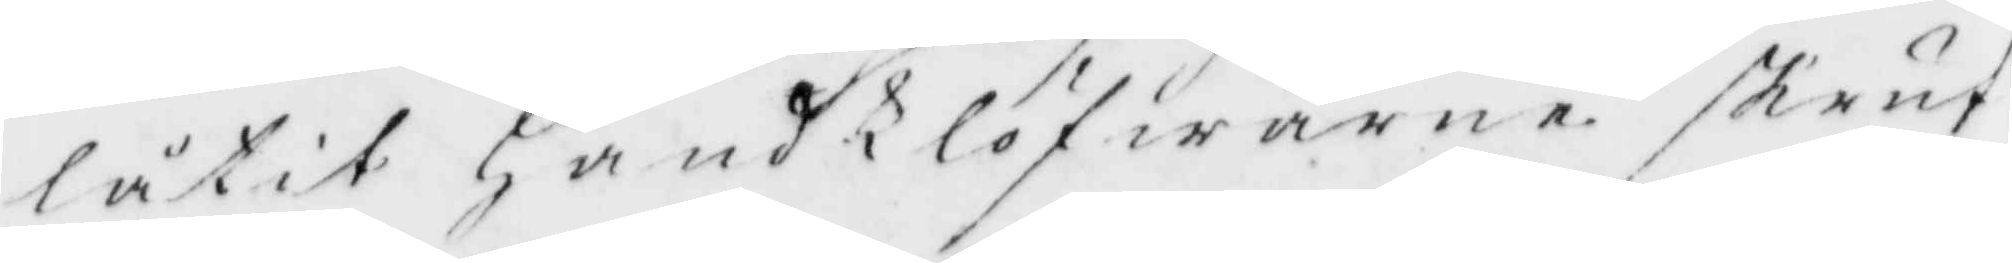låtit HandKlöfwarne skruf¬
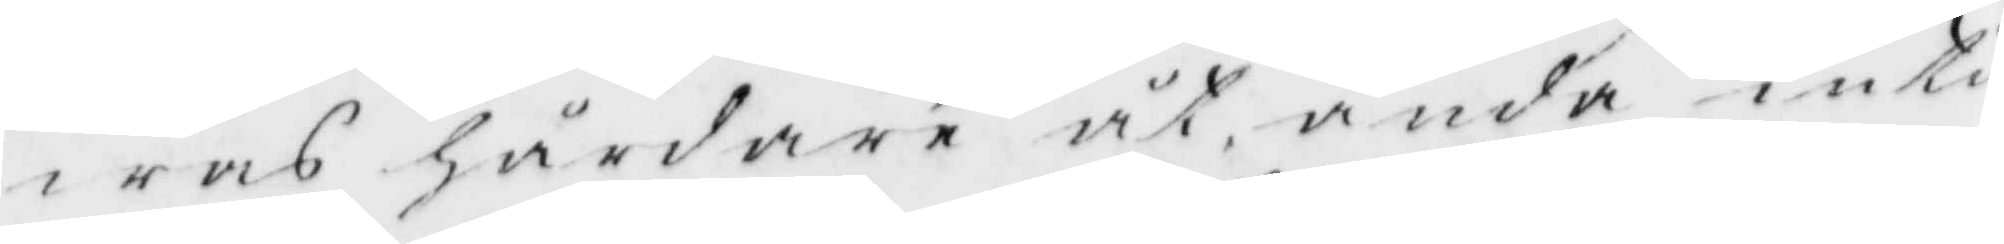was hårdare åt, ända intil
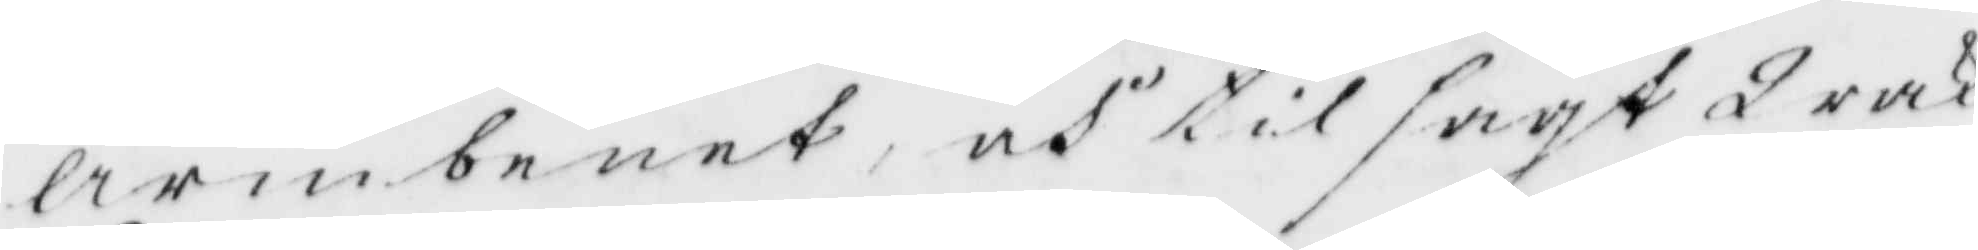Armbenet, och tilsagt Wakt¬
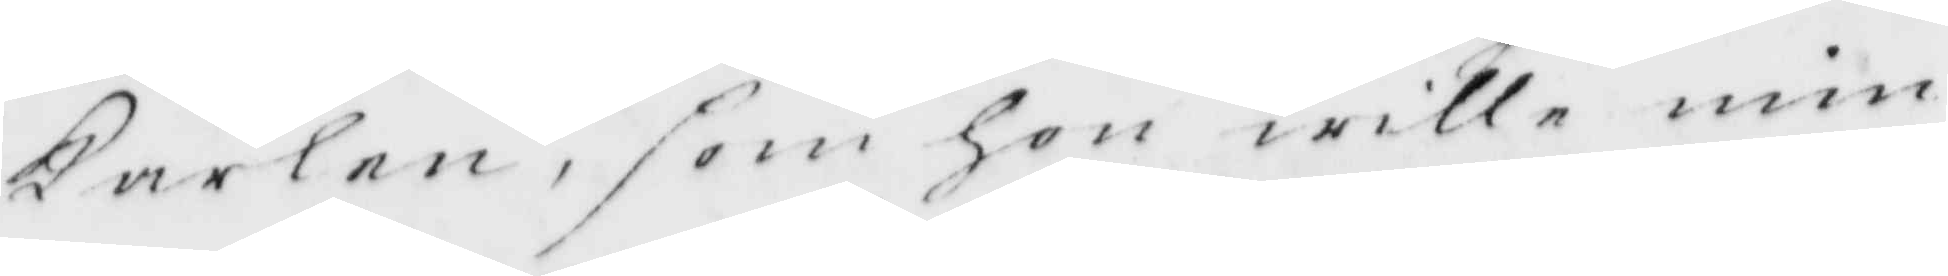Karlen, som hon wille min¬
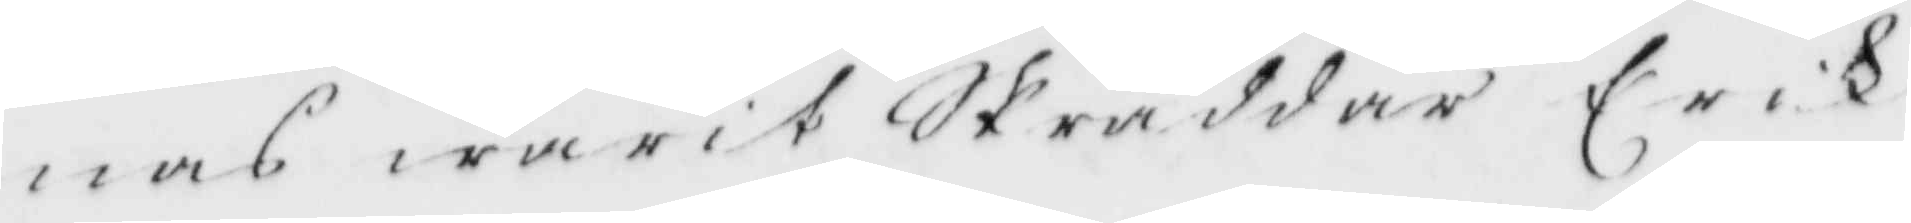nas warit Skräddar Erik
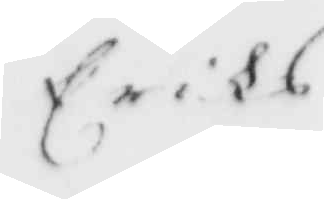Erihs
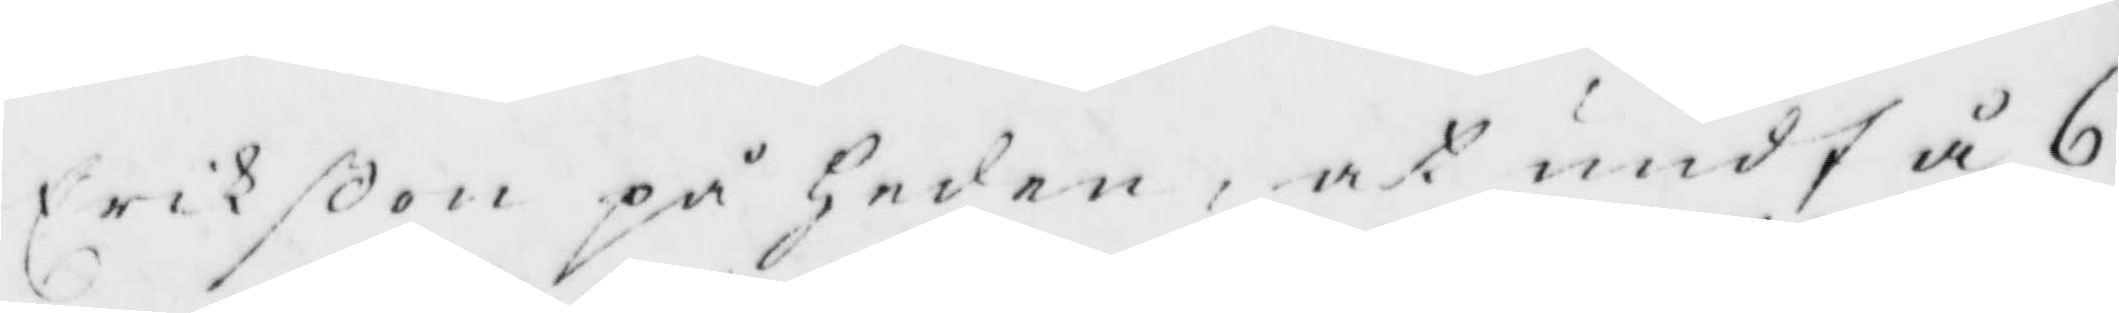Erihßon på Heden, at undfå 6
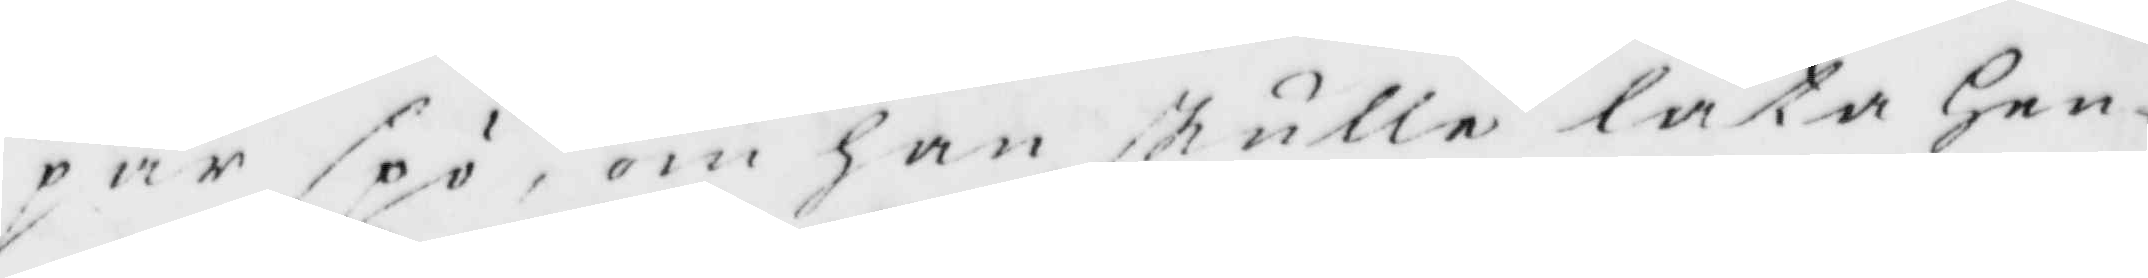par spö, om han skulle låta Hen¬
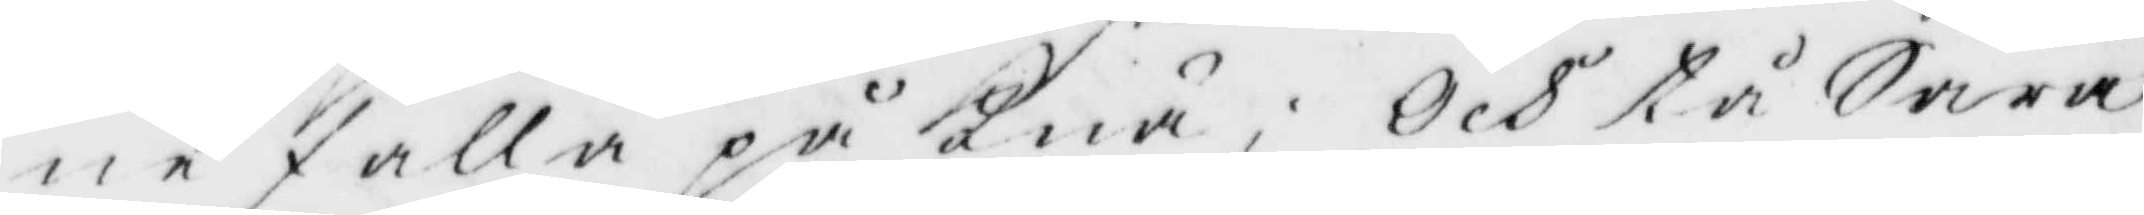ne falla på Knä; Och tå Sara
